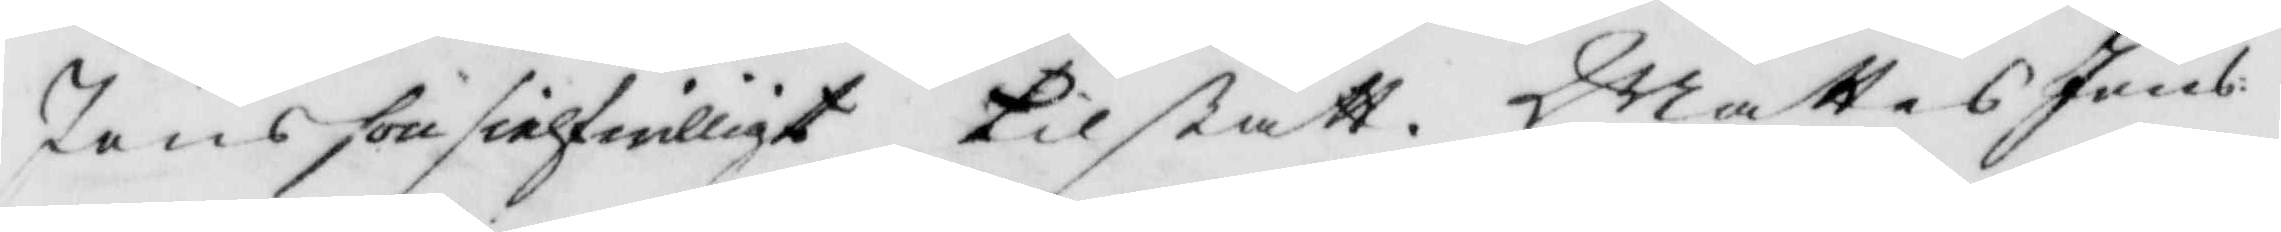Jönsson sielf friwilligt tilstått Mattes Jans¬
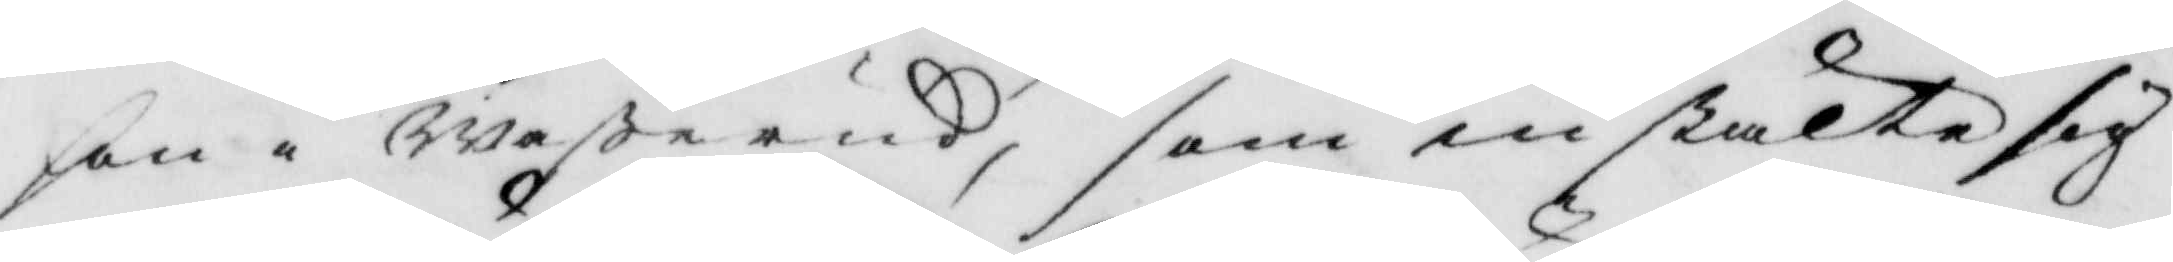son i Waßerud, som instälte sig
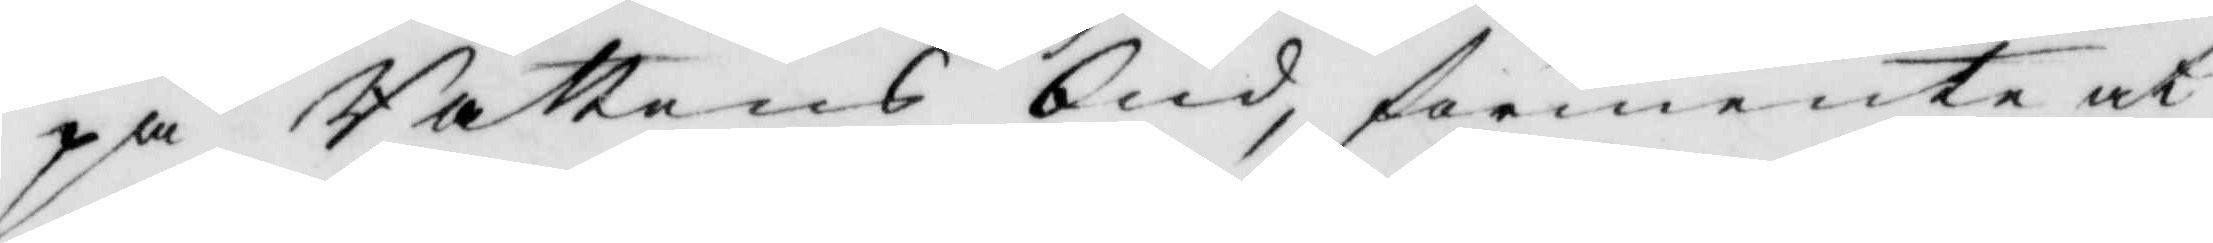på Rättens bud, förmente at
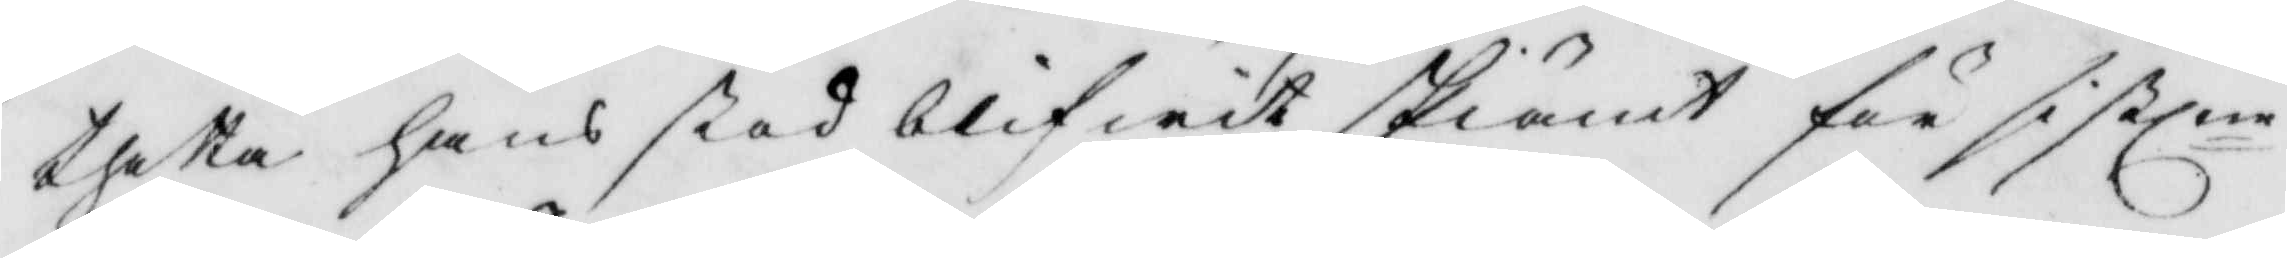thetta hans stod blifwit skiämt för sistlne
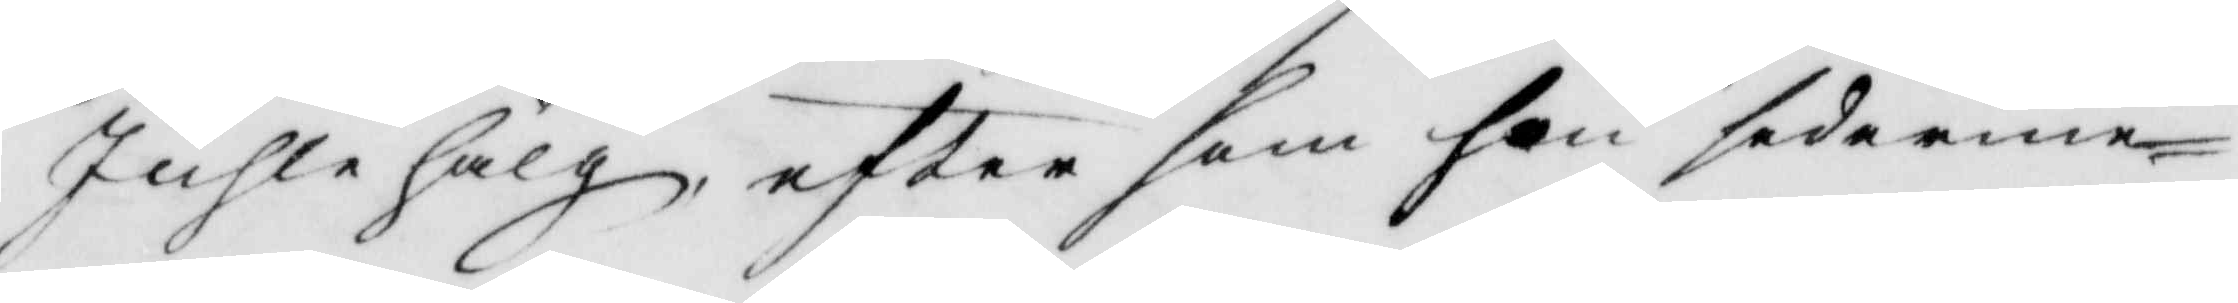Juhlehälg eftersom hon sedermer¬
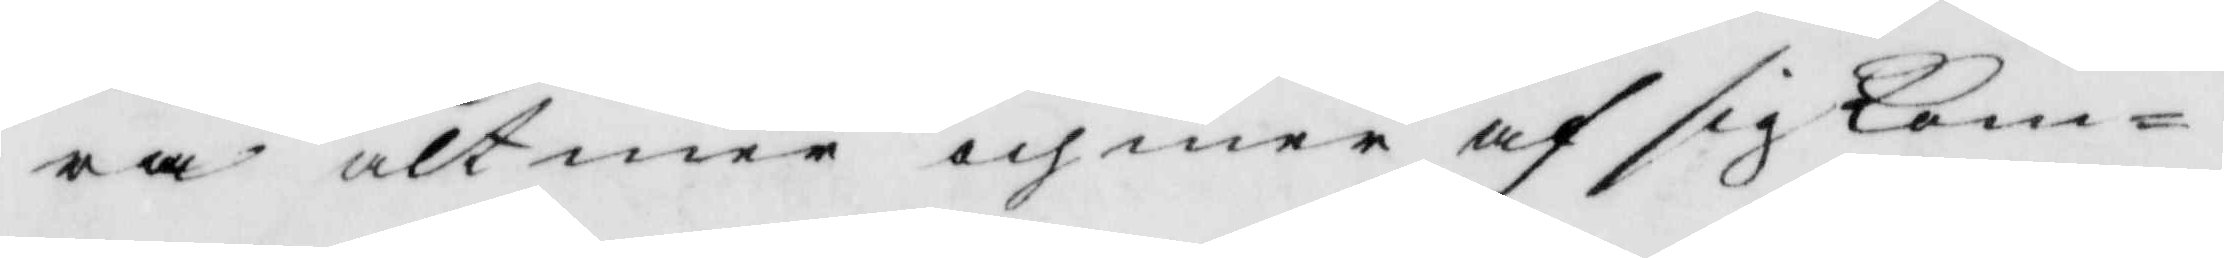ra altmer och mer af sig kom¬
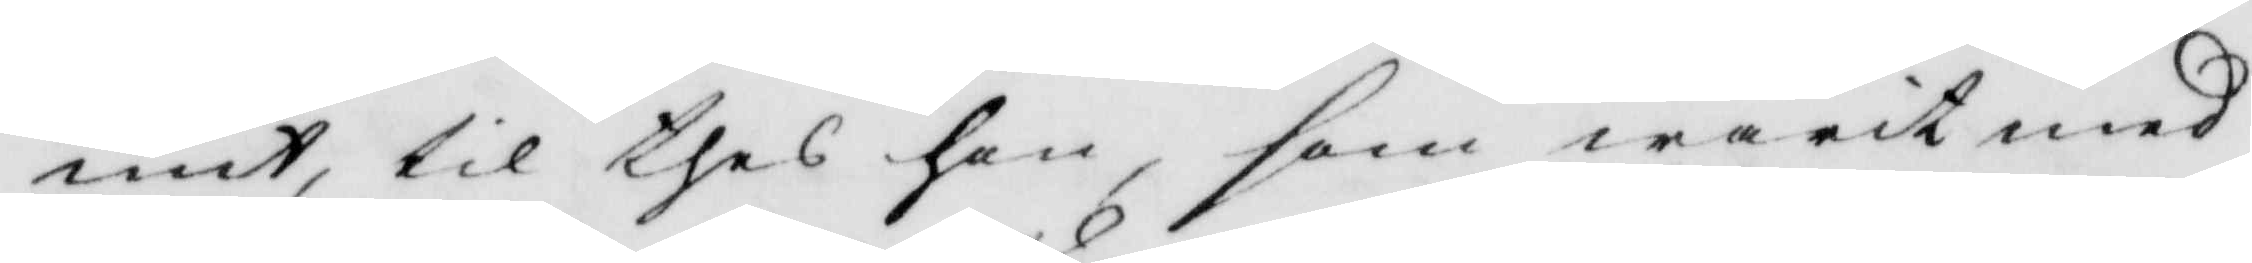mit, til thes hon som warit med
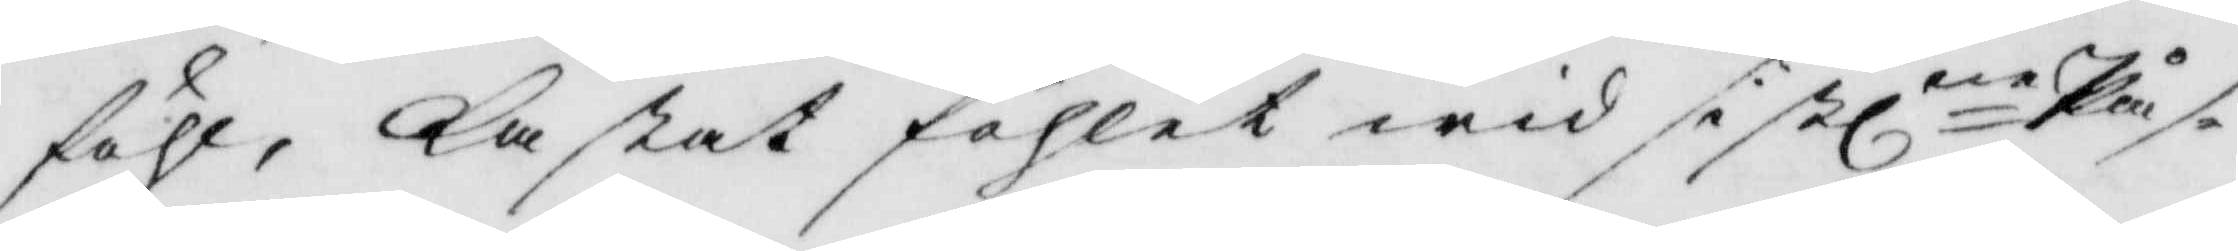föhl, kastat föhlet wid sistlne Pås¬
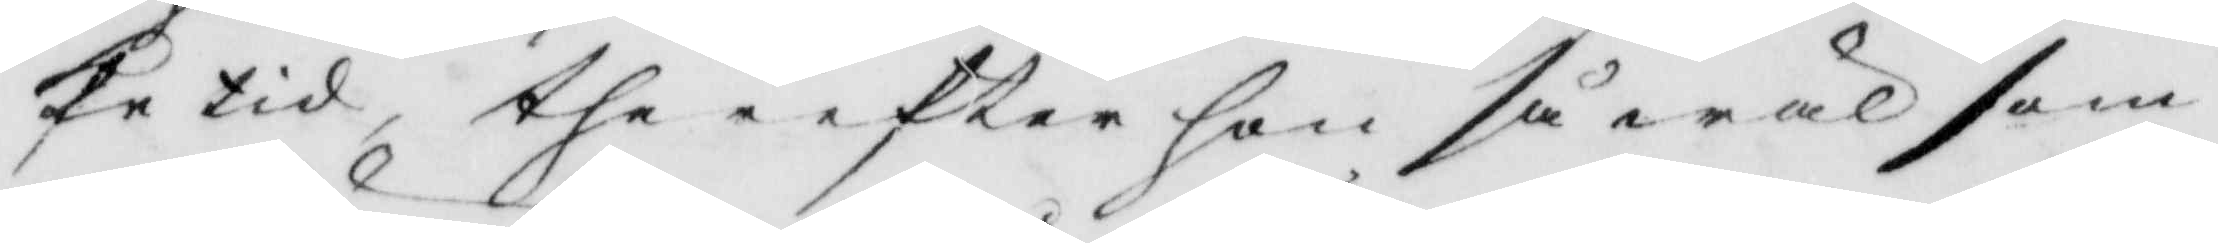ketid, ther efter hon så wäl som
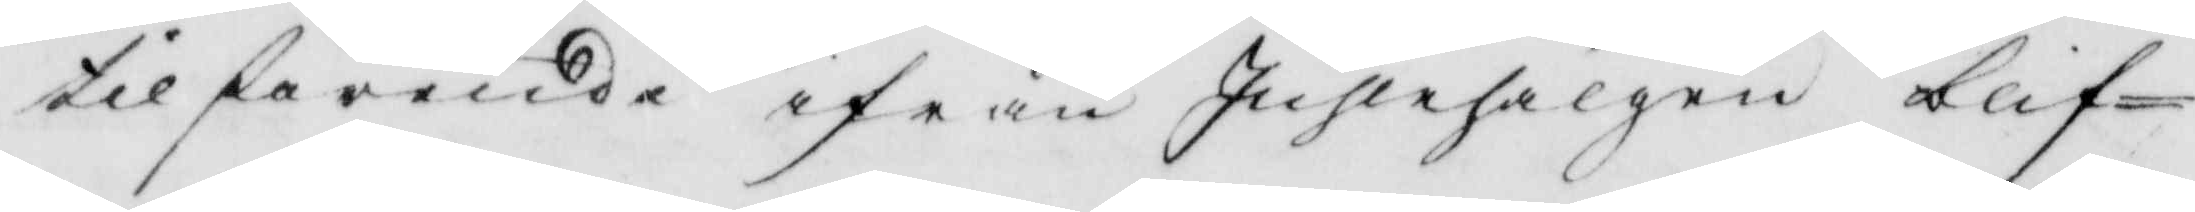tilförende ifrån Juhlehälgen blif¬
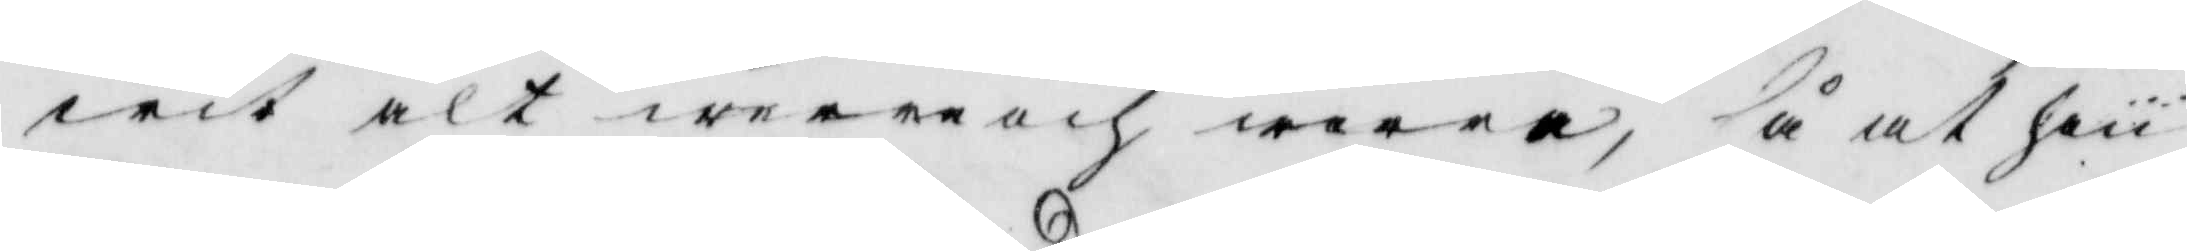wit alt werre och werre, så at han
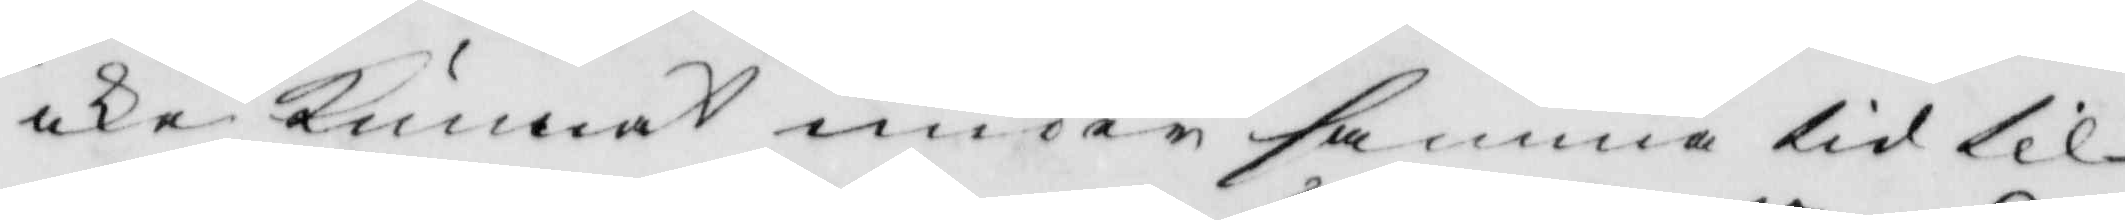icke kunnat under samma tid til
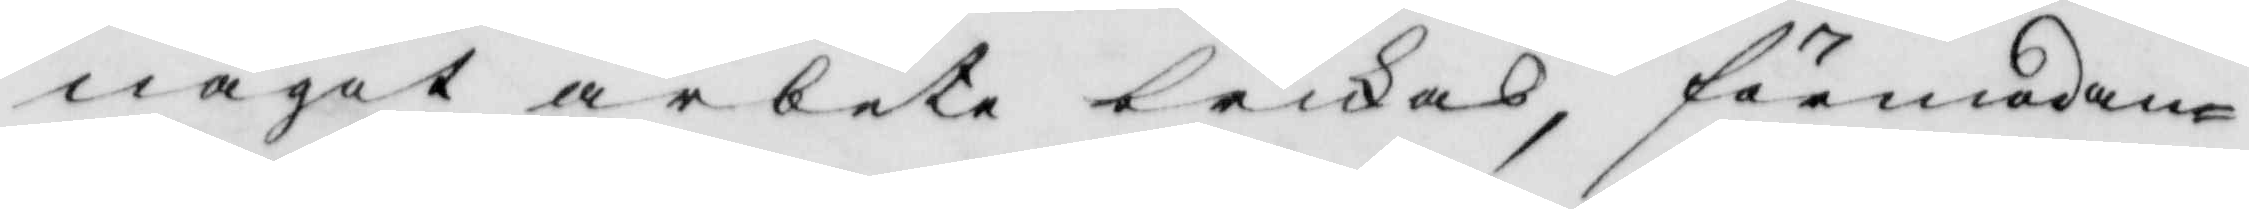något arbete brukas, förmodan¬
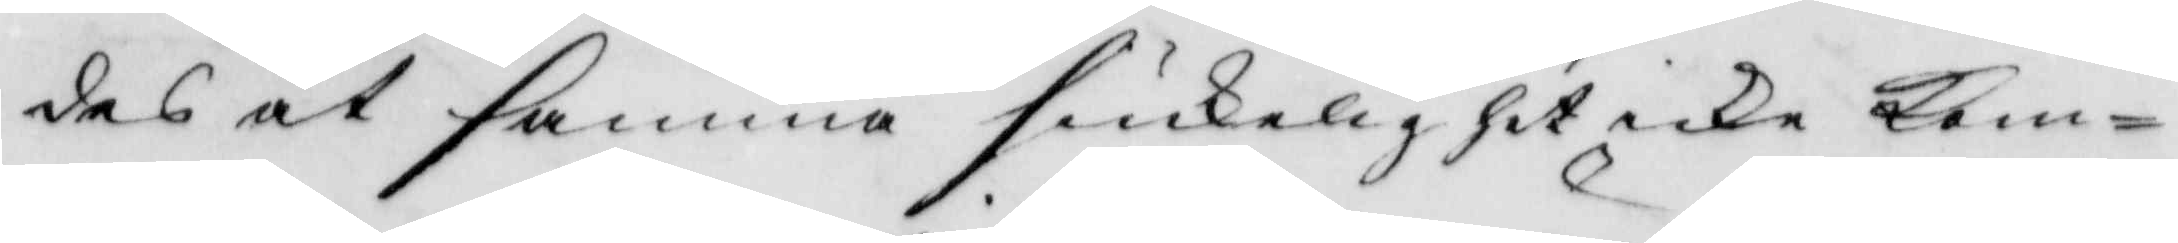des at samma siukelighet icke kom¬
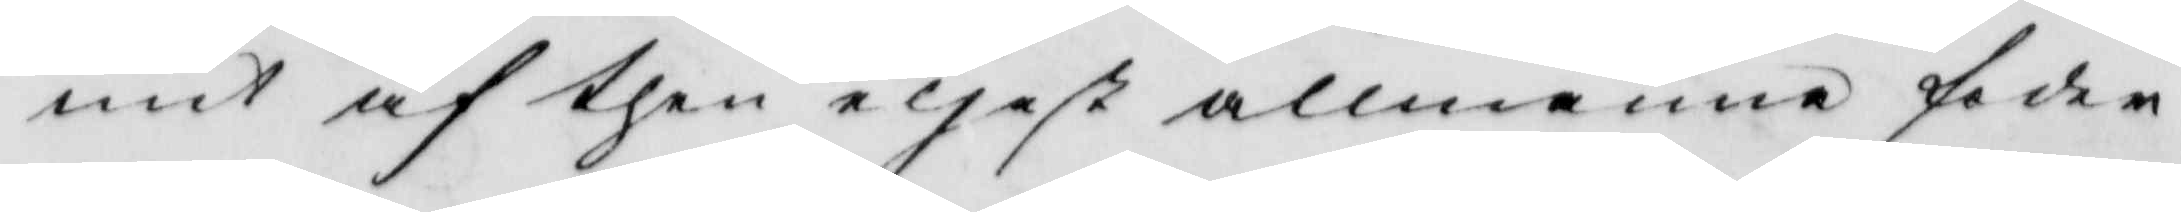mit af then eljest allmänne foder¬
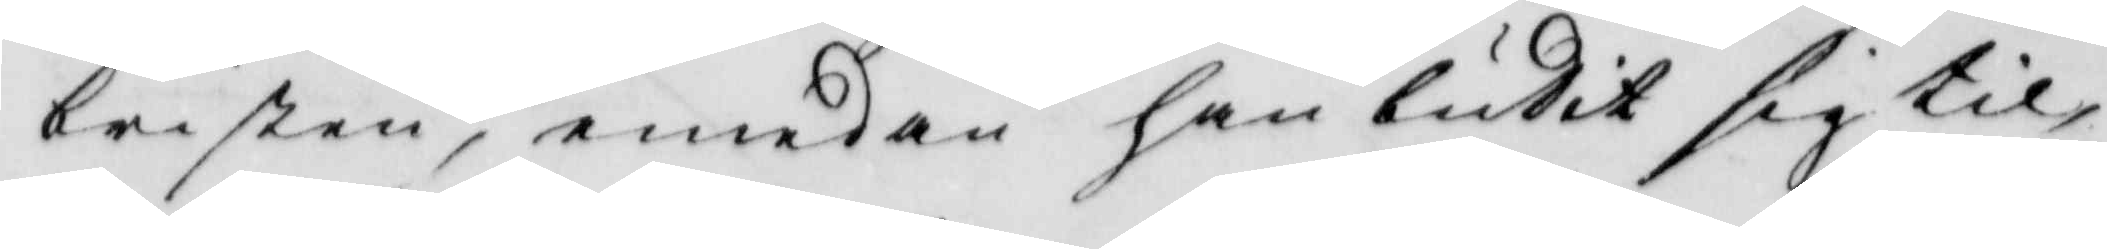bristen, emedan ahn budit sig til,
